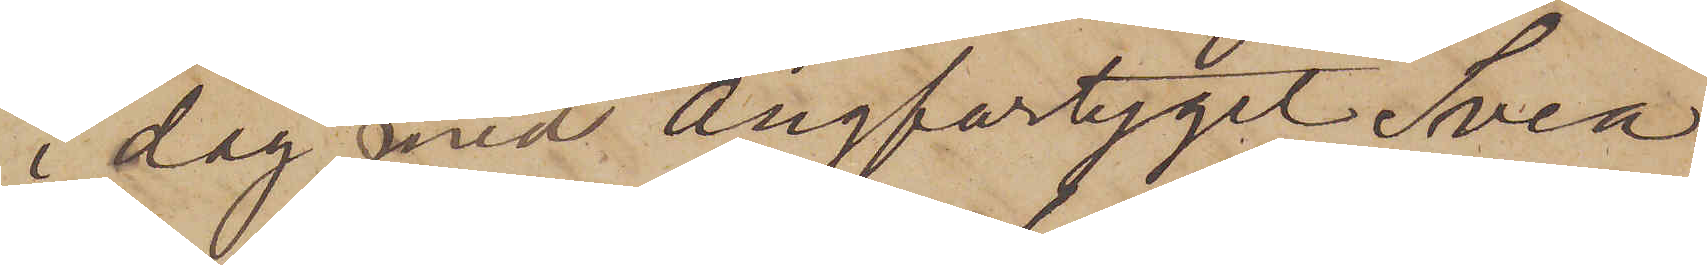i dag med ångfartyget Svea
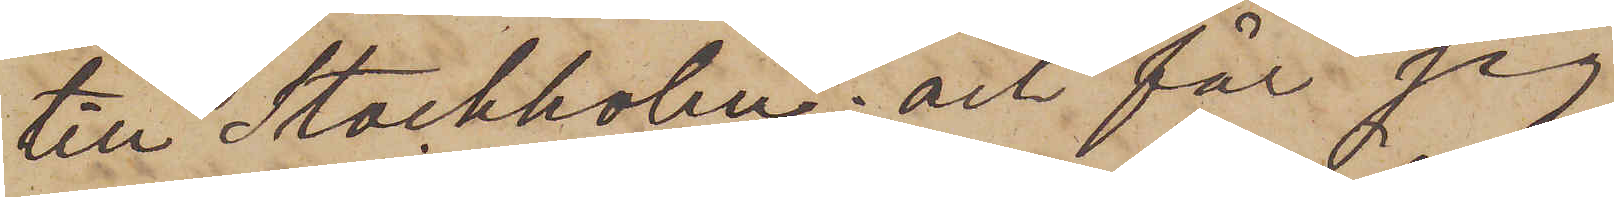till Stockholm; och får jag
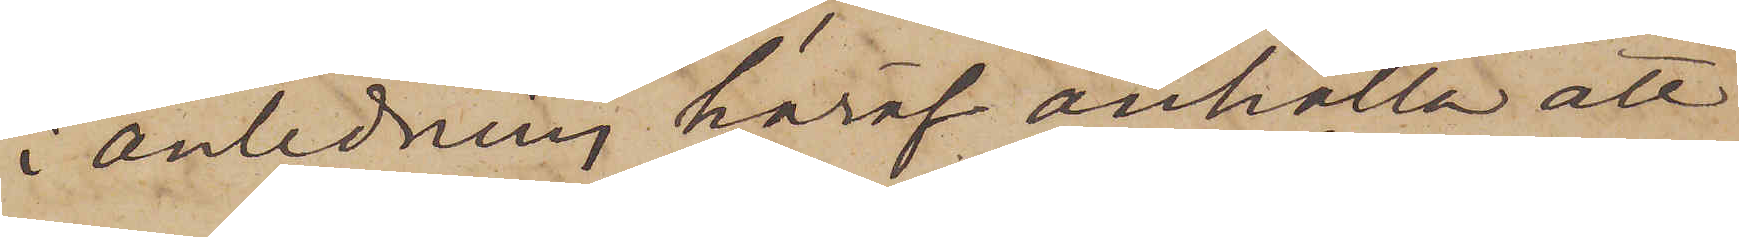i anledning häraf anhålla att
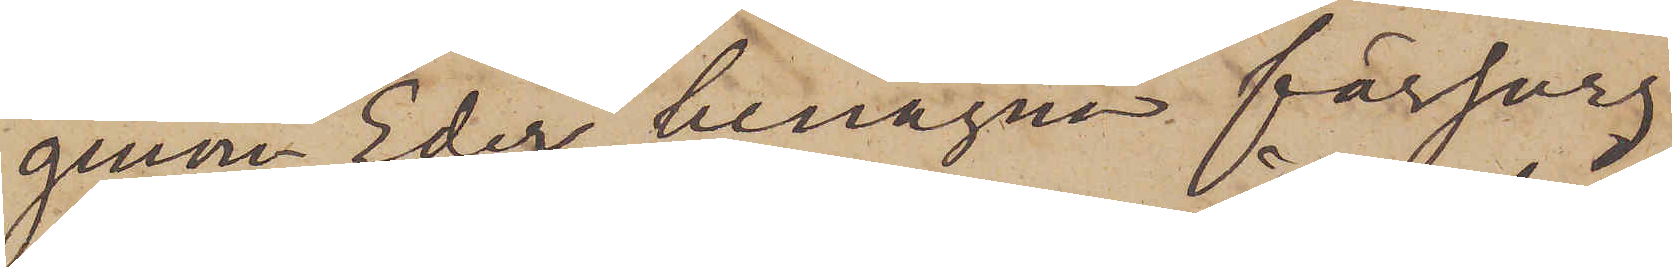genom Eder benägna försorg
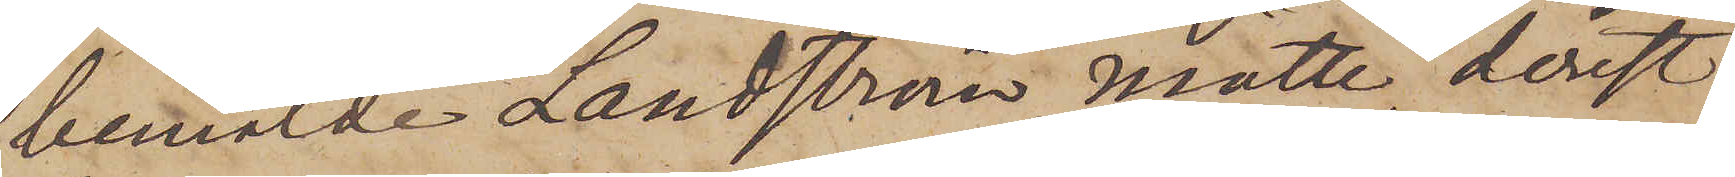bemälde Landström måtte, derest
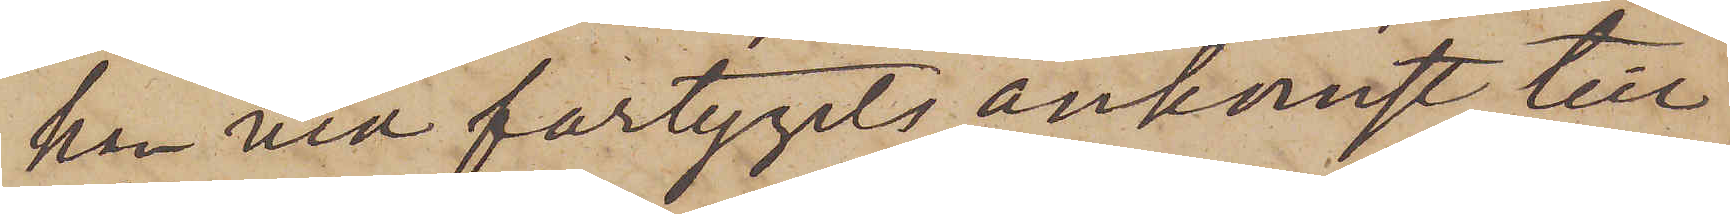han vid fartygets ankomst till
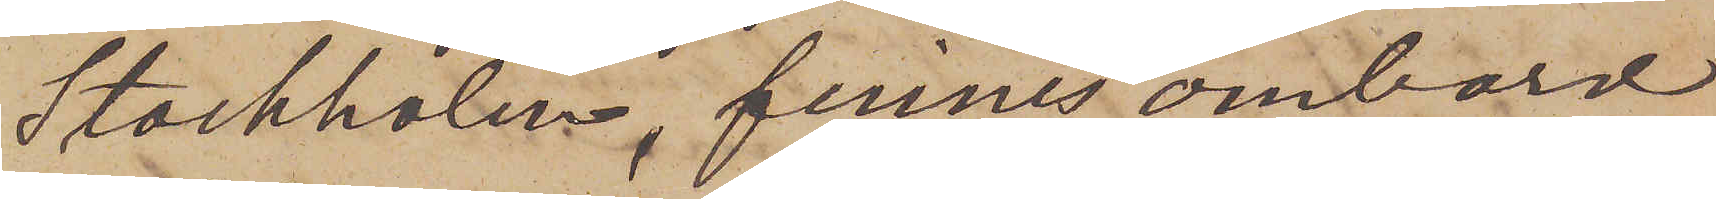Stockholm, finnes ombord
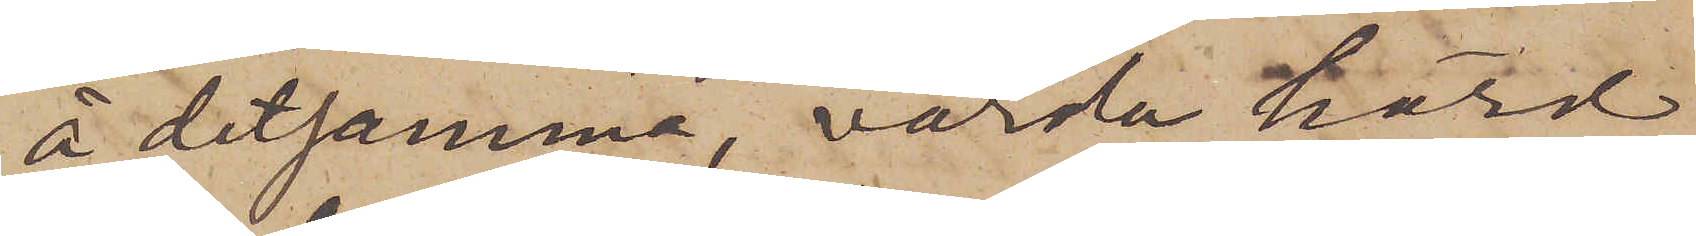å detsamma, varda hörd
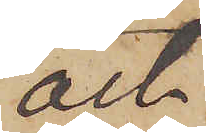och
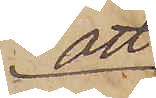att
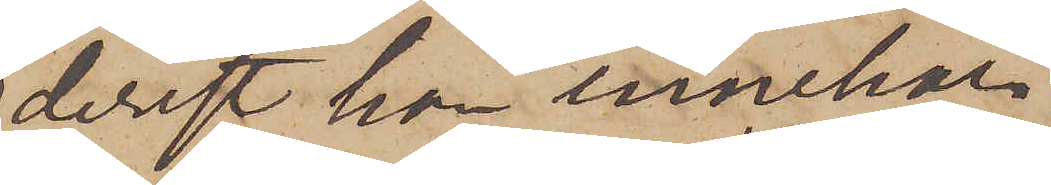derest han innehar
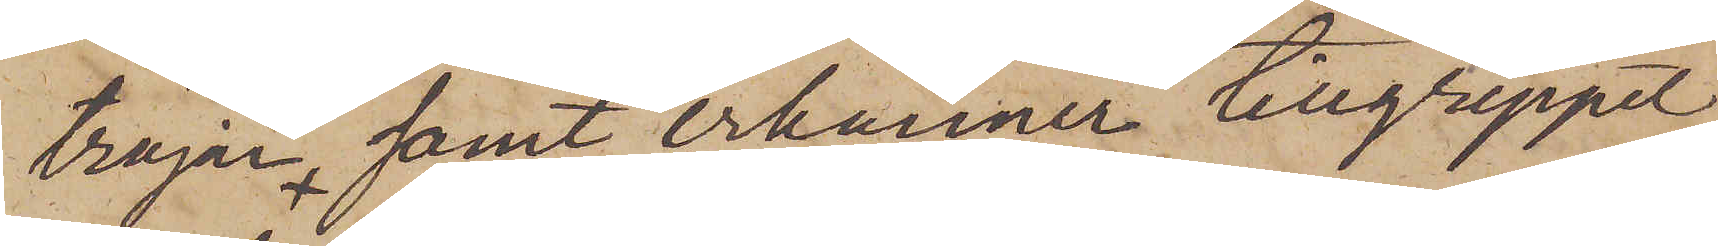tröjan samt erkänner tillgreppet
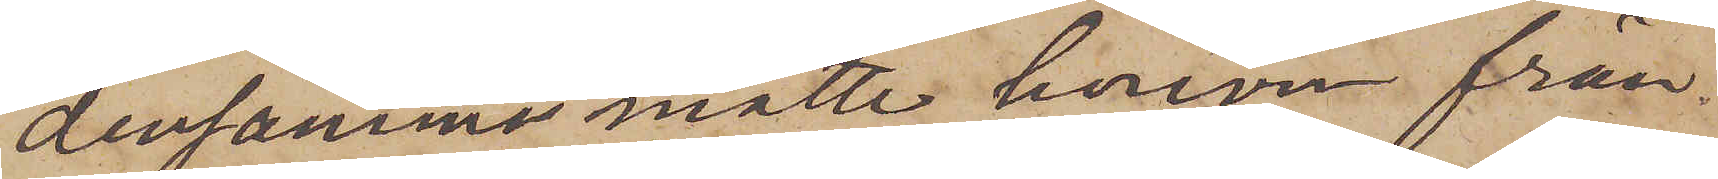densamma måtte honom från¬
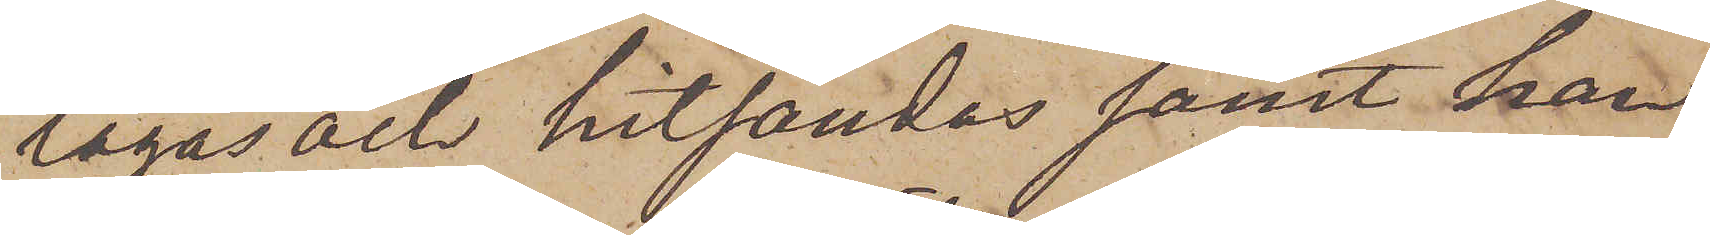tagas och hitsändas samt han
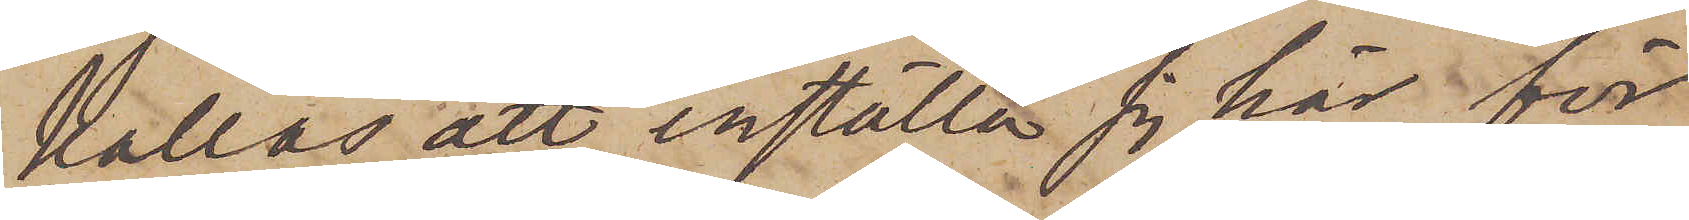kallas att inställa sig här för
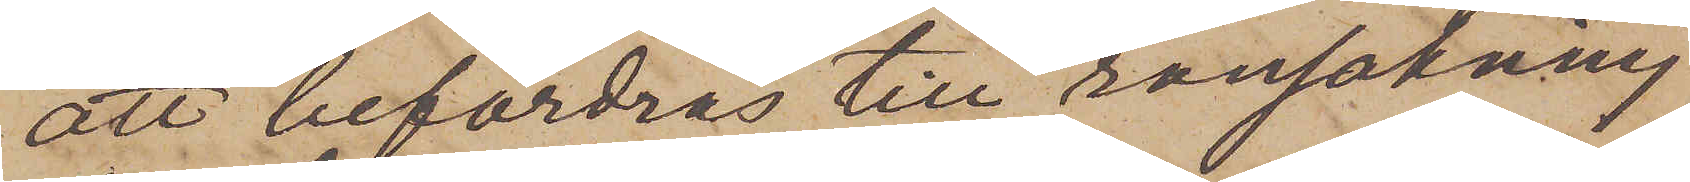att befordras till ransakning
